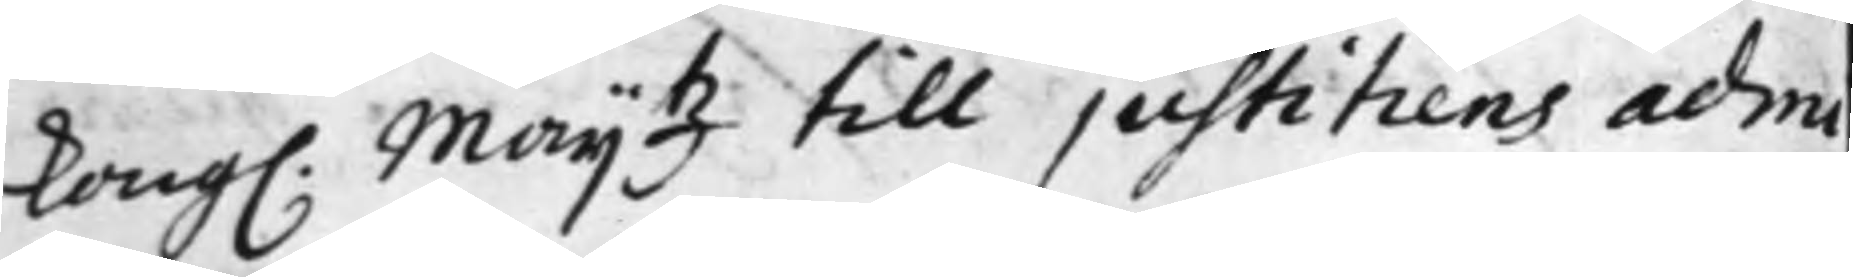Kong. Maij.tz till justitiens admi¬
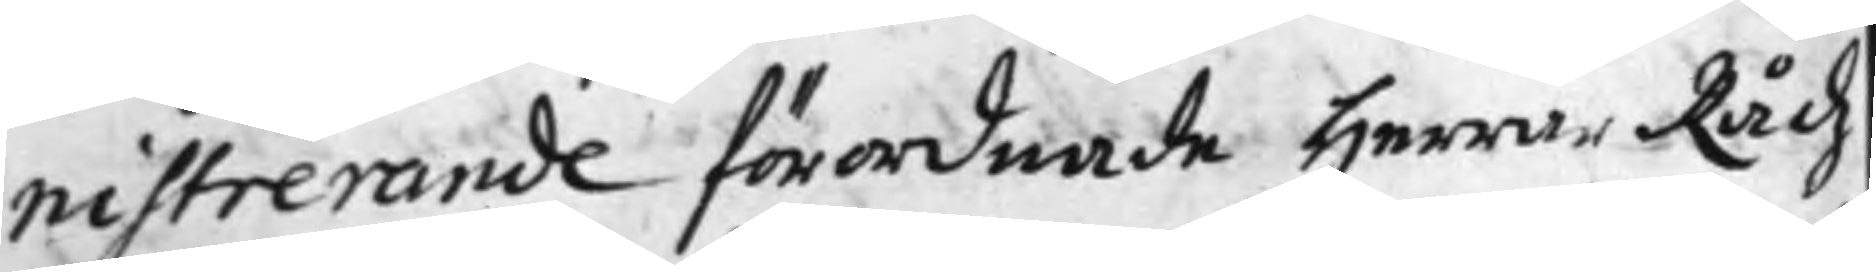nistrerande förordnade Herrar Rådz
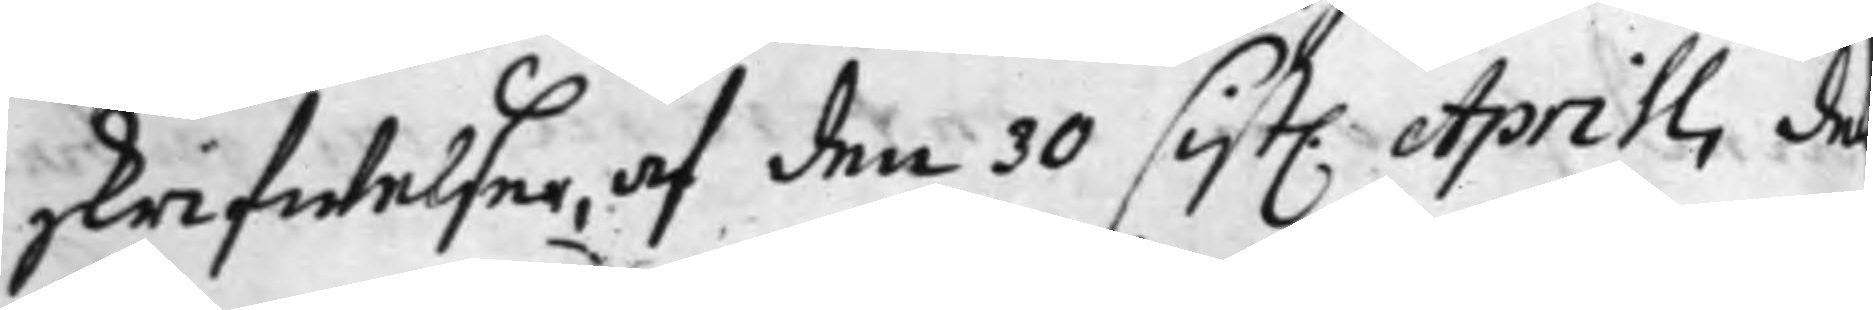skrifwelser, af den 30 sist. Aprill, den
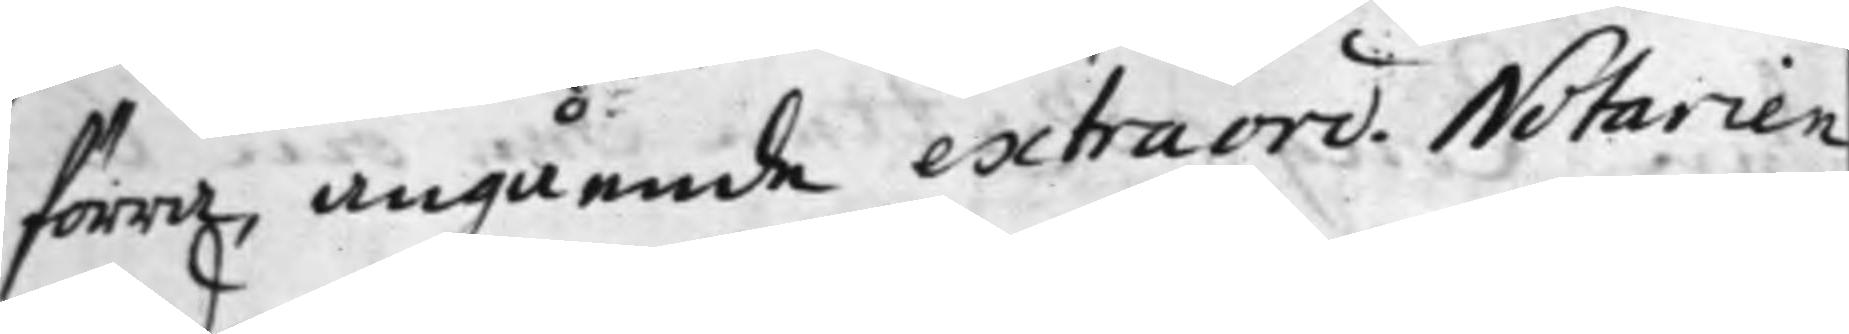förra, angående extraord. Notarien
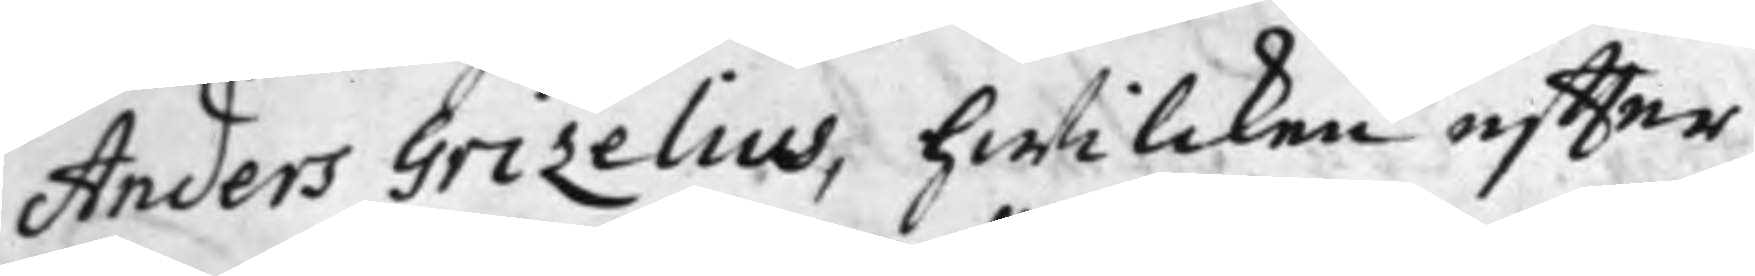Anders Grizelius, hwilcken effter
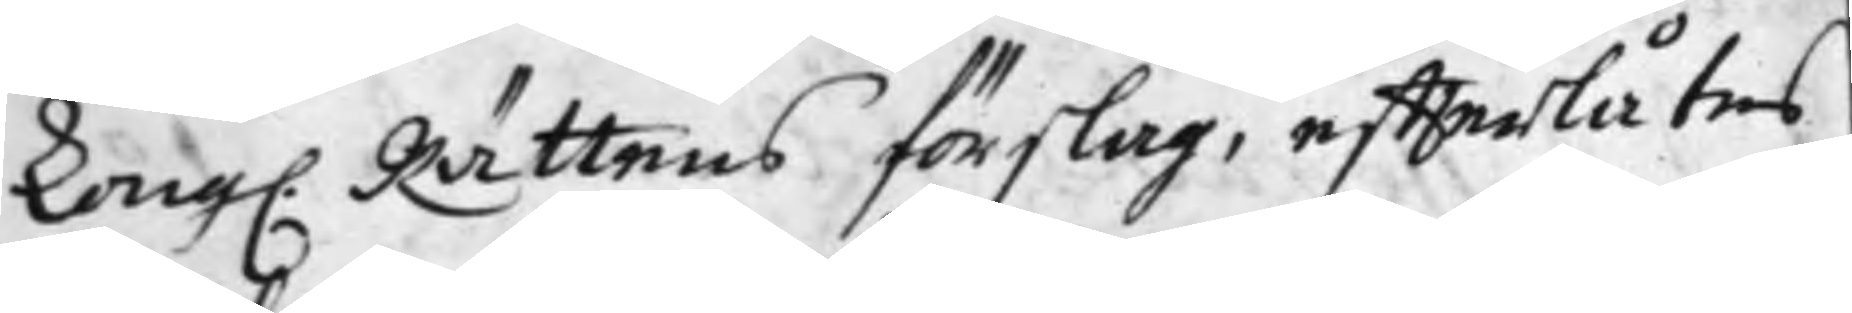Kong. Rättens förslag, effterlåtas
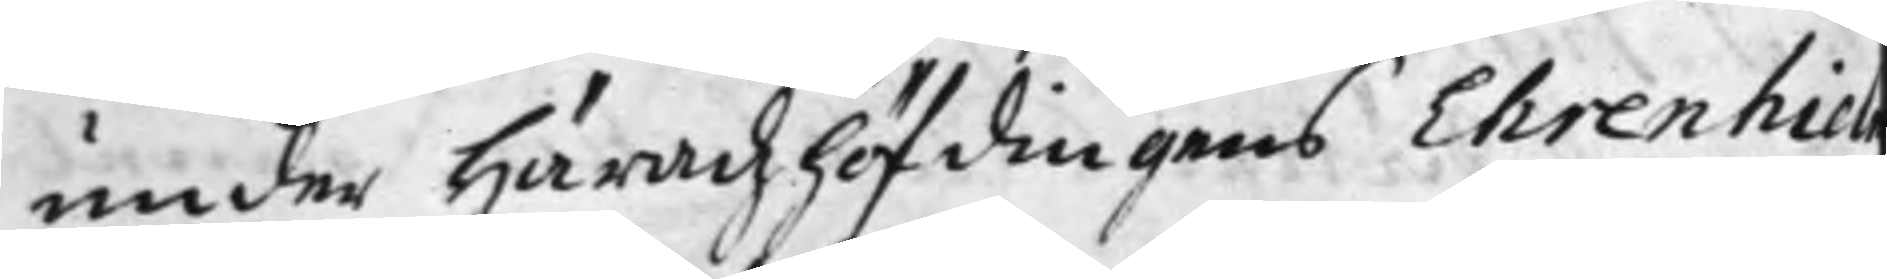under Häradzhöfdingens Ehrenhiel
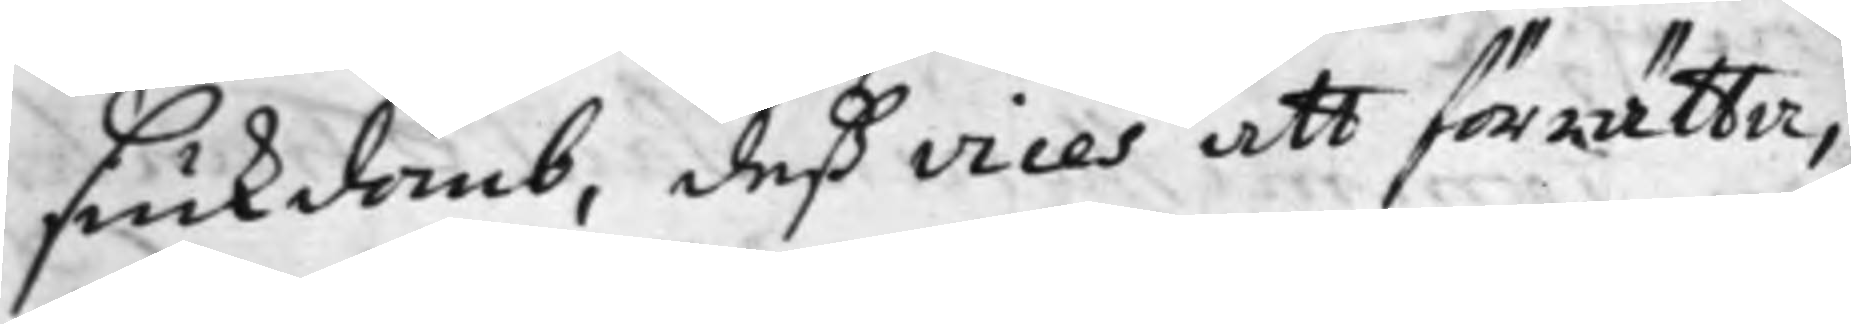siukdomb, deß vices att förrätta,
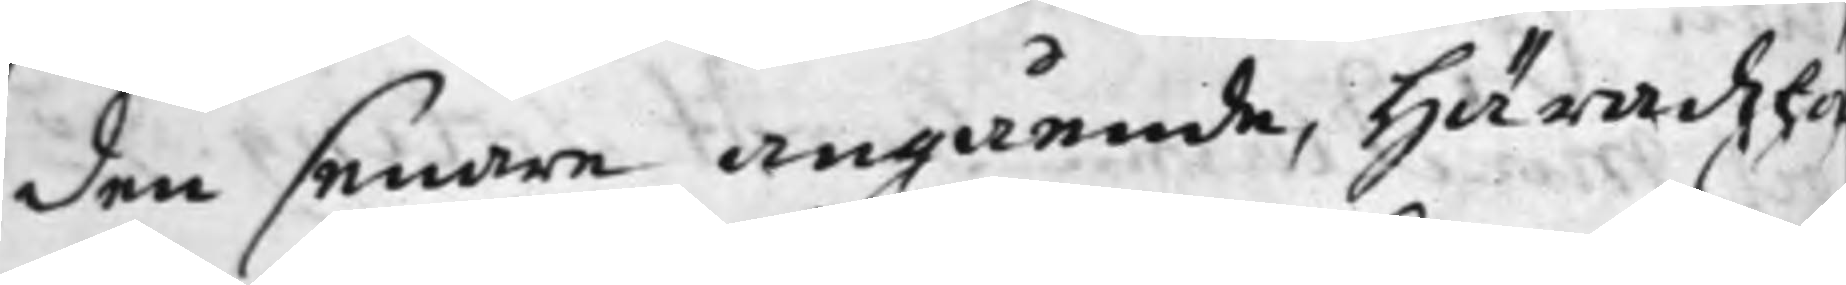den senare angående, Häradzhö
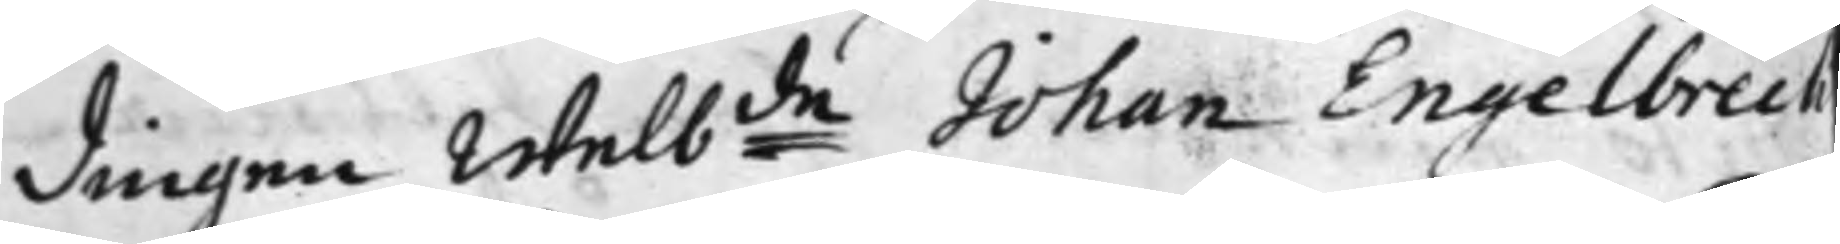dingen Welb.de Johan Engelbrech
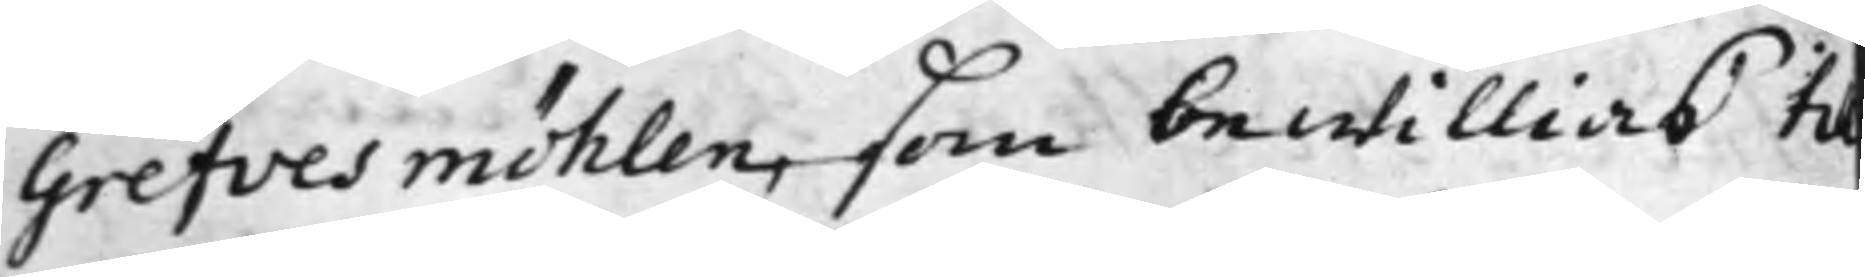Grefvesmöhlen, som bewillias til
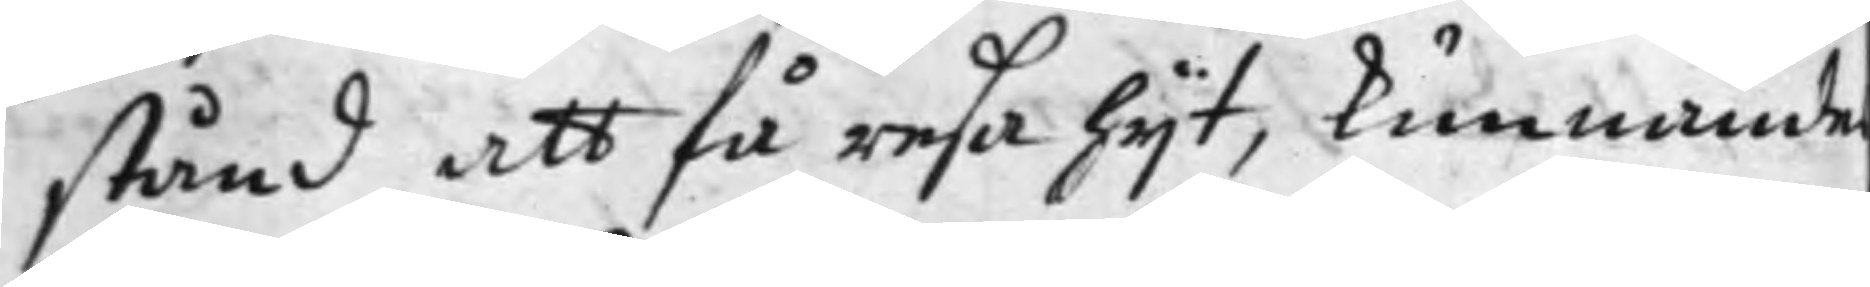stånd att få resa hijt, kunnande
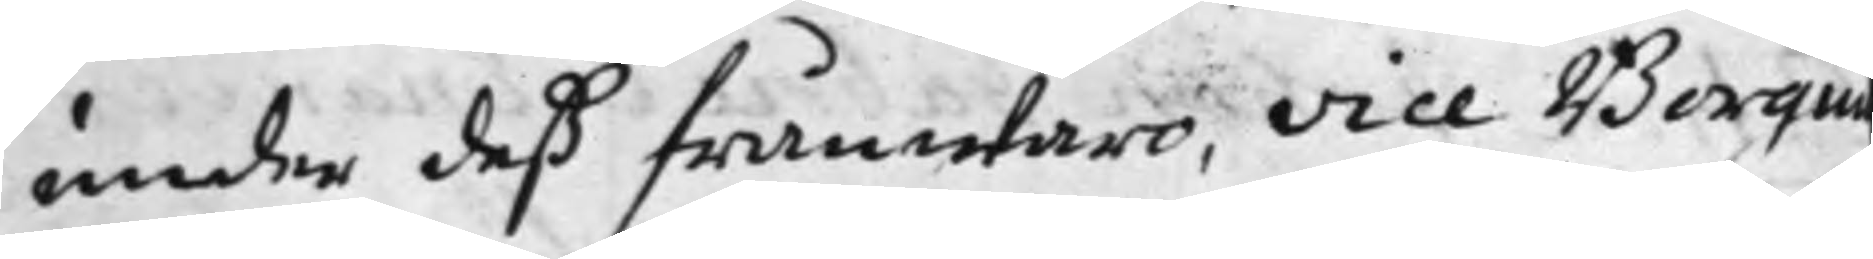under deß frånwaro, vice Borgm
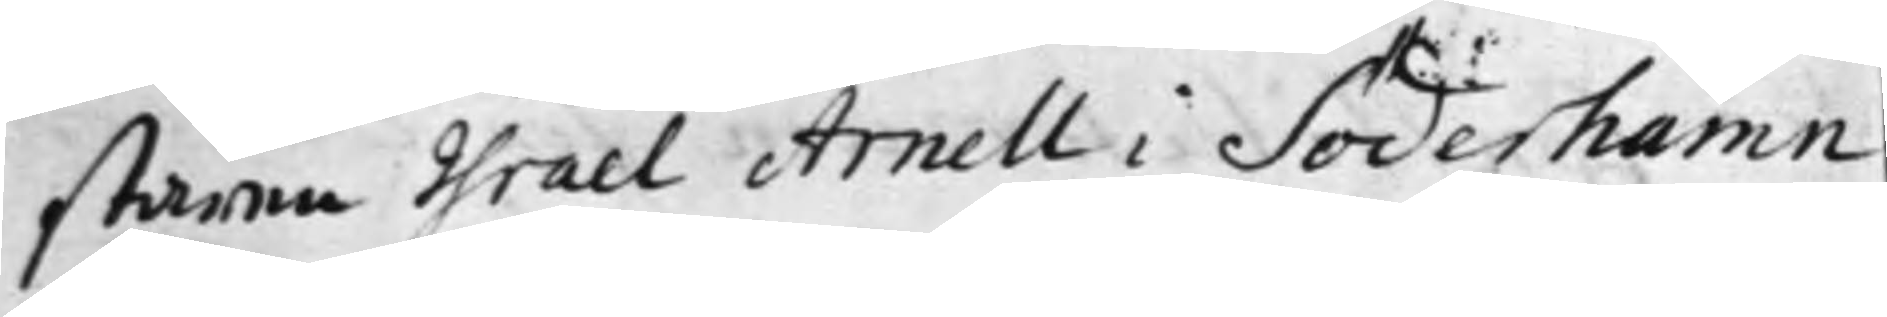staren Israel Arnell i Söderhamn
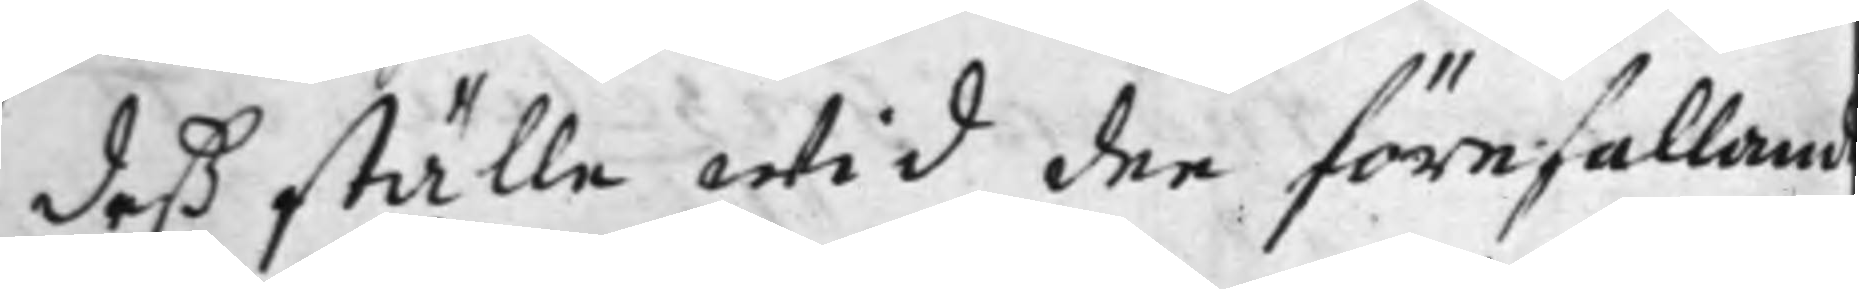deß ställe wid dee förefalland
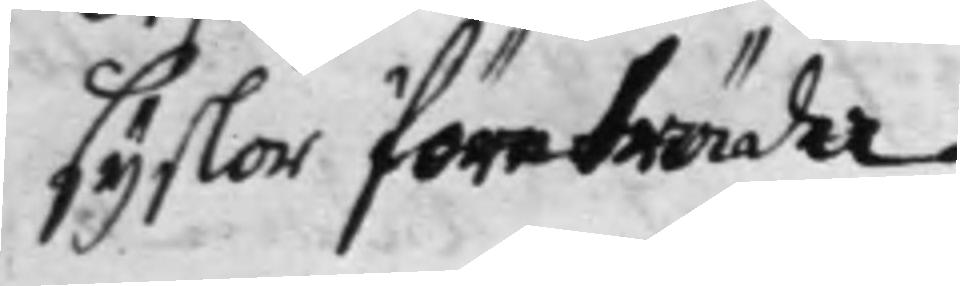syslor företräda.
